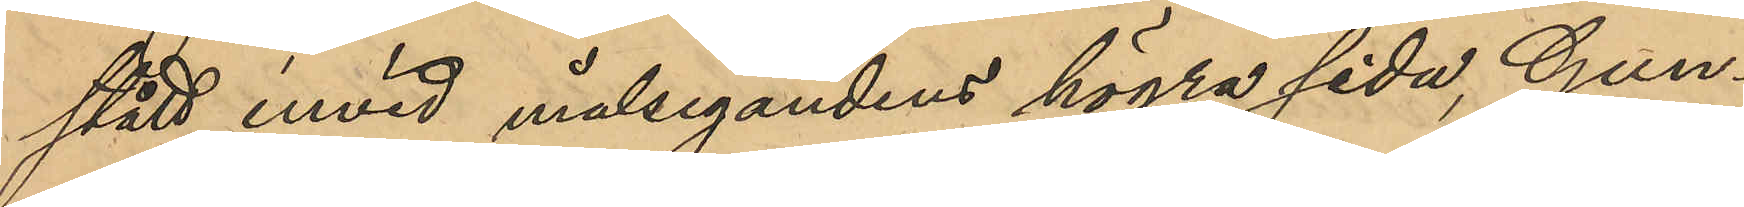stått invid målsegandens högra sida, Gun¬
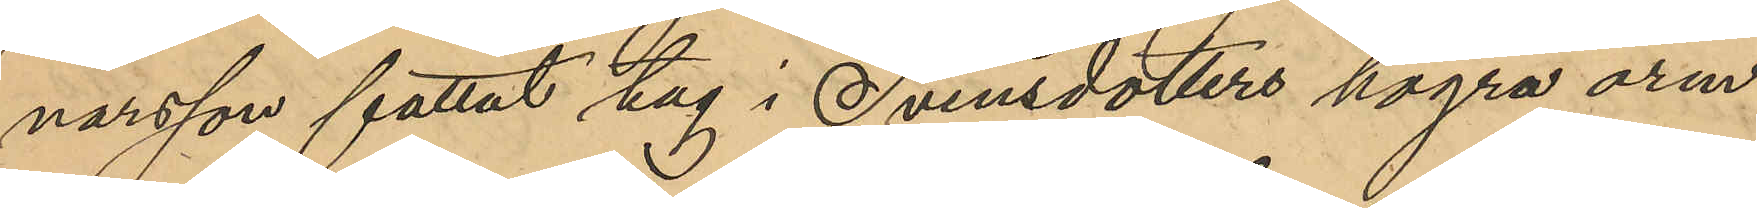narsson fattat tag i Svensdotters högra arm
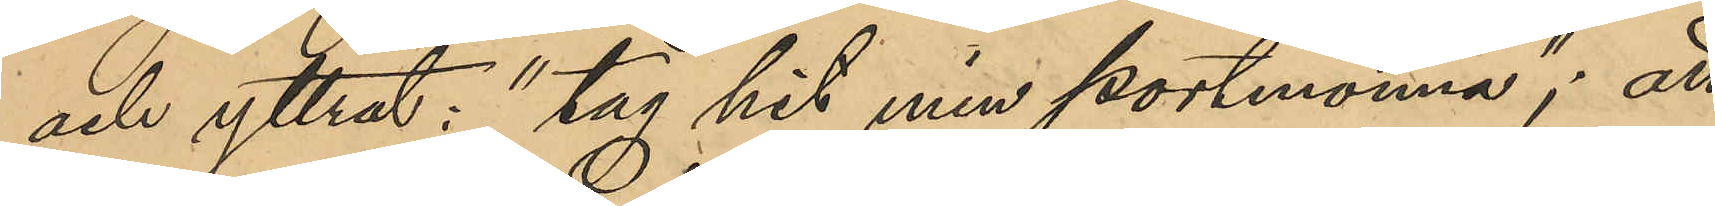och yttrat: "tag hit min portmonnä"; att
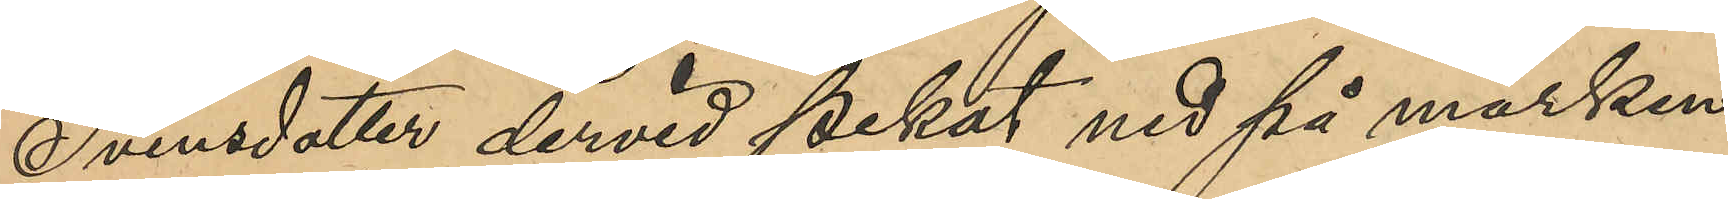Svensdotter dervid pekat ned på marken
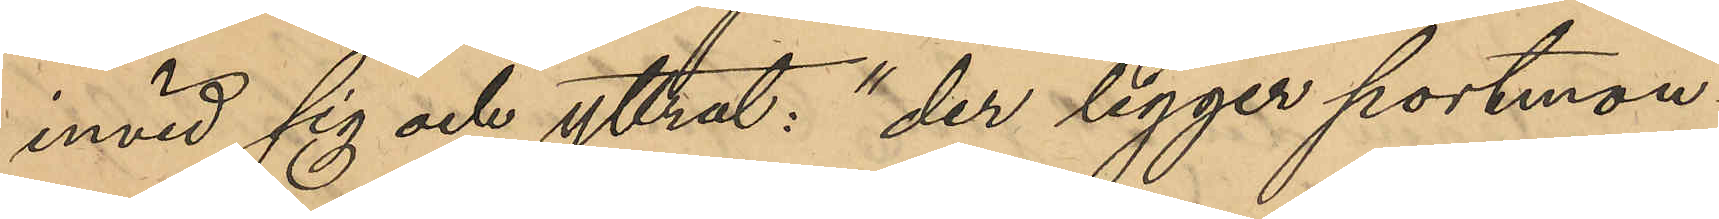invid sig och yttrat: "der ligger portmonn¬
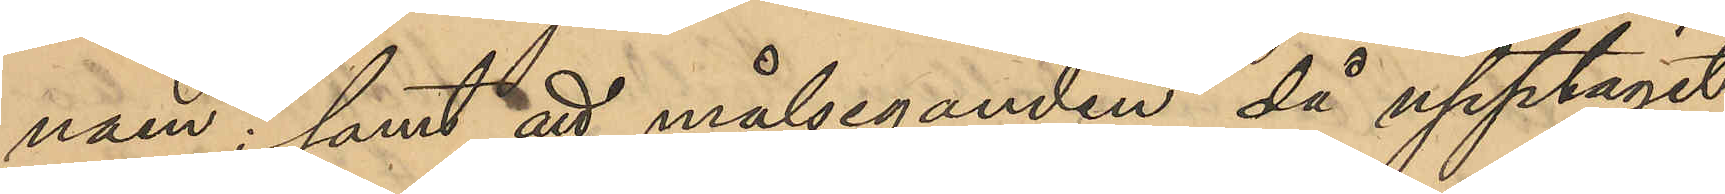naen"; samt att målseganden då upptagit
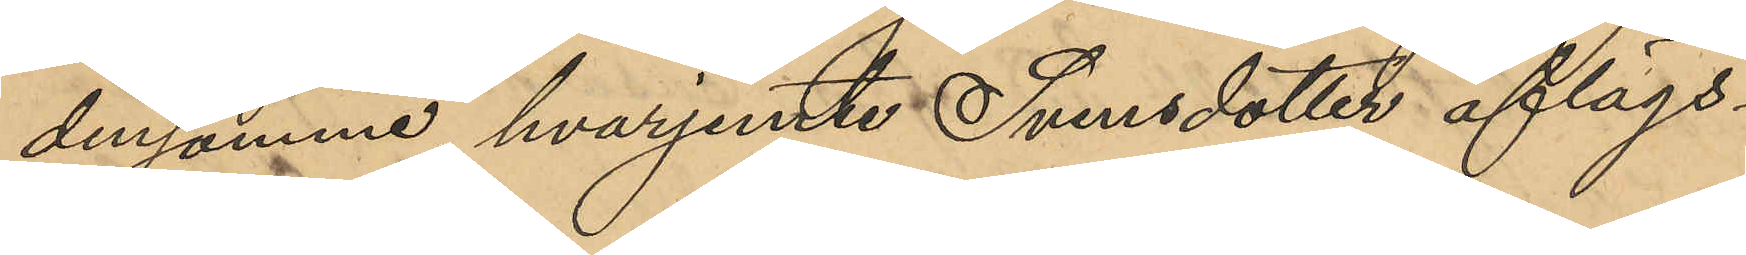densamme; hvarjemte Svensdotter aflägs¬
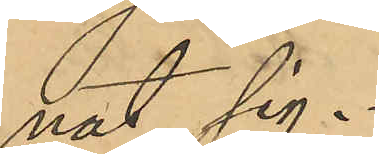nat sig.
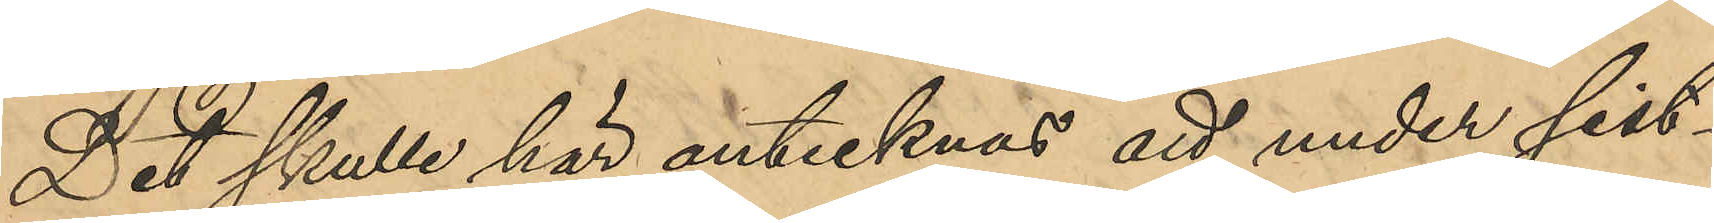Det skulle här antecknas att under sist¬
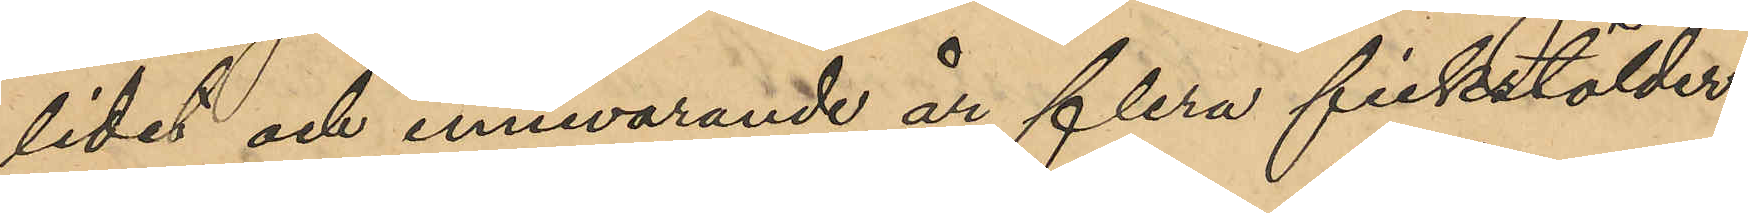lidet och innevarande år flera fickstölder
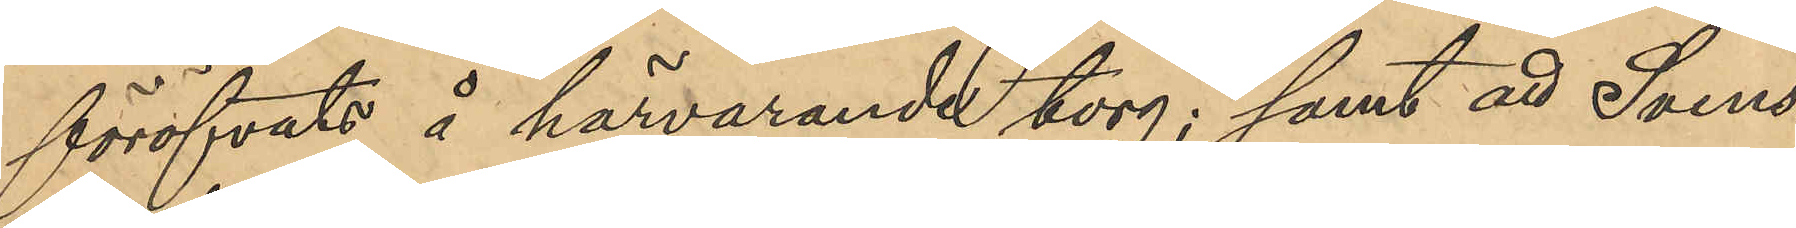föröfvats å härvarande torg; samt att Svens¬
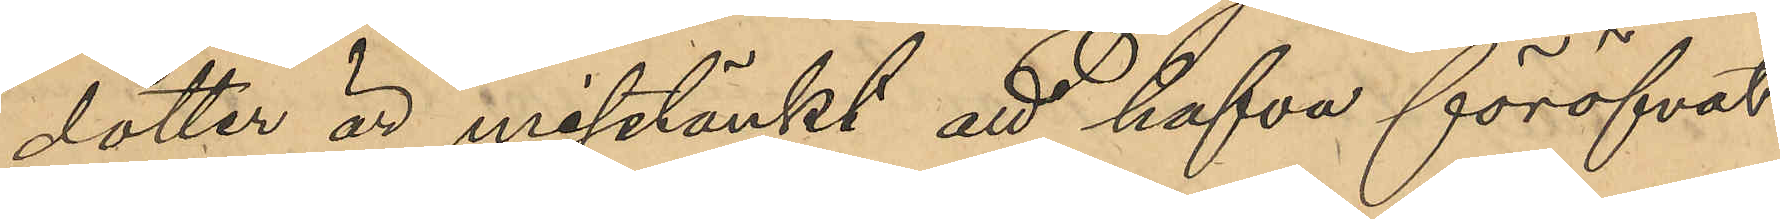dotter är misstänkt att hafva föröfvat
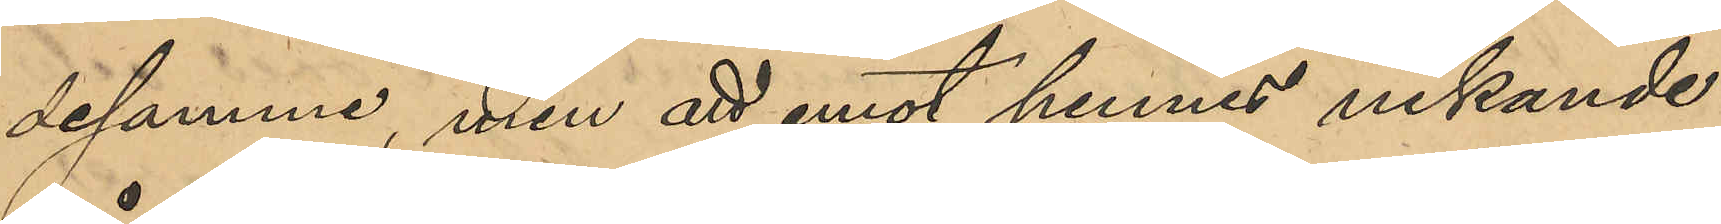desamma, men att emot hennes nekande
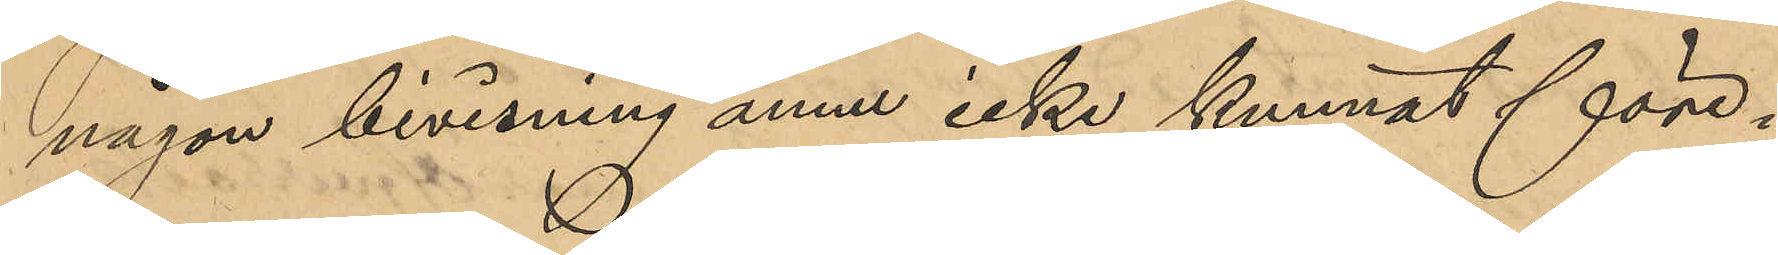någon bevisning ännu icke kunnat före¬
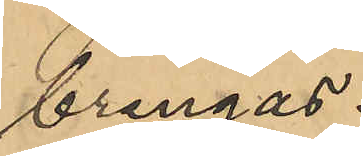bringas.
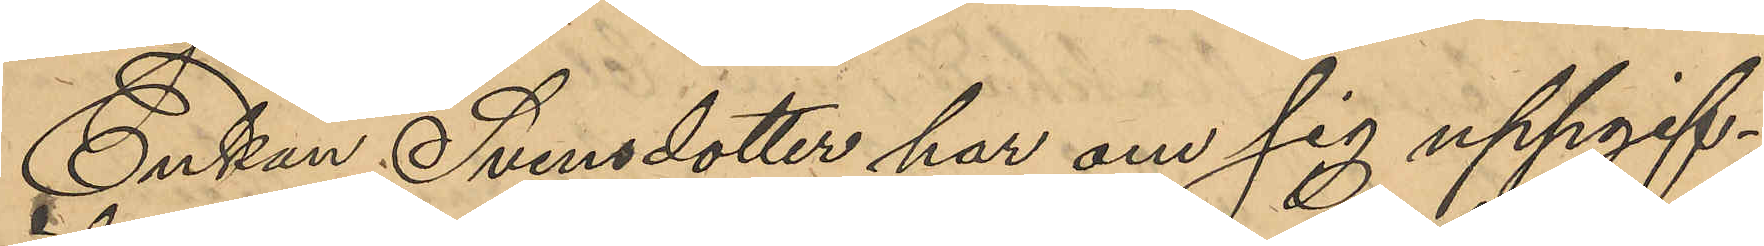Enkan Svensdotter har om sig uppgif¬
